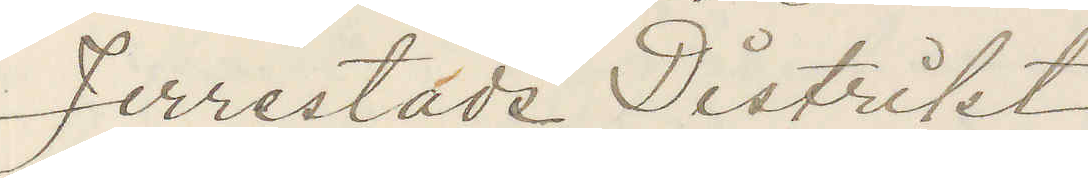Jerrestads Distrikt
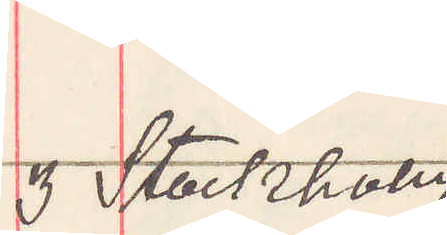3 Stockholm
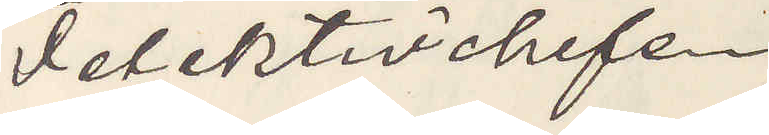Detektivchefen
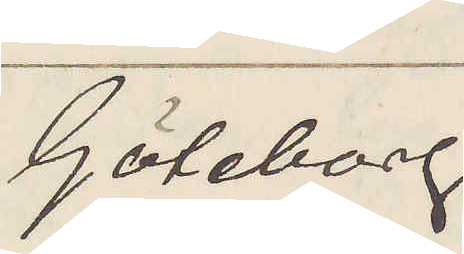Göteborg
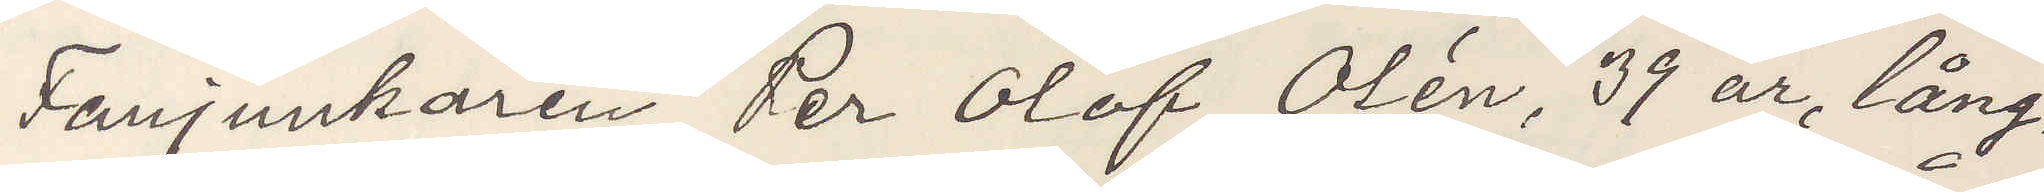Fanjunkaren Per Olof Olén, 39 år, lång,
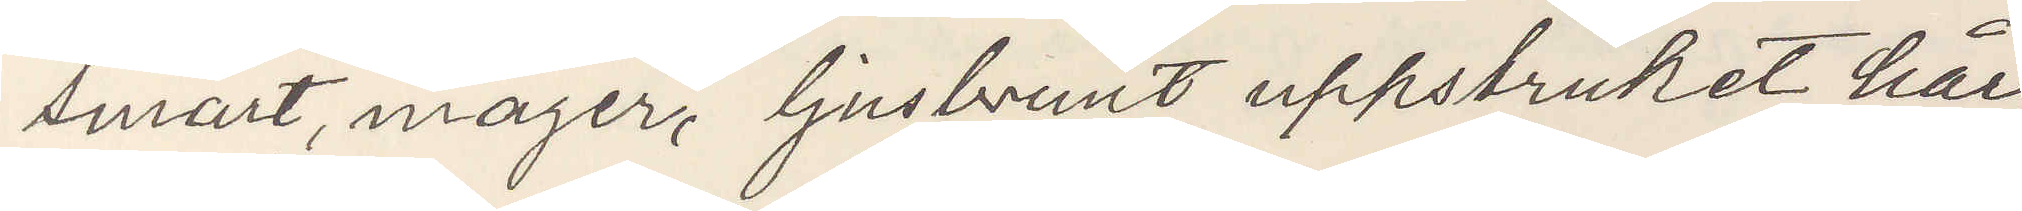smärt, mager, ljusbrunt uppstruket hår,
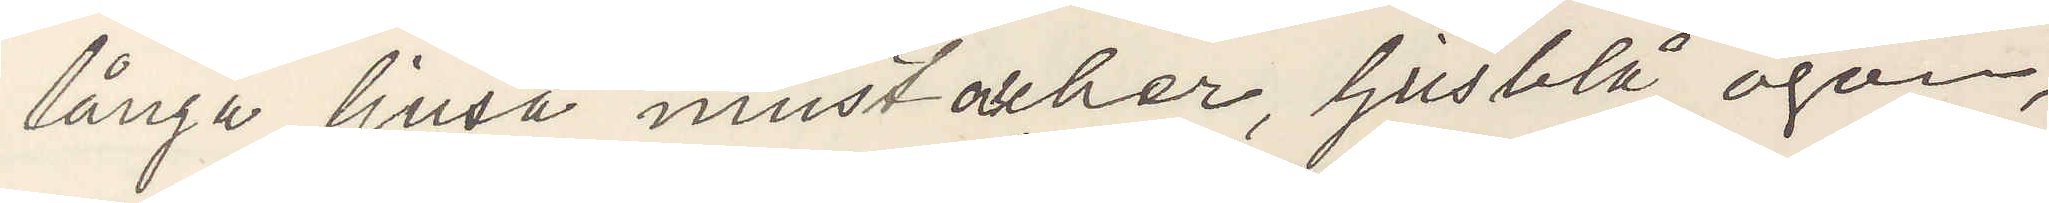långa ljusa mustacher, ljusblå ögon,
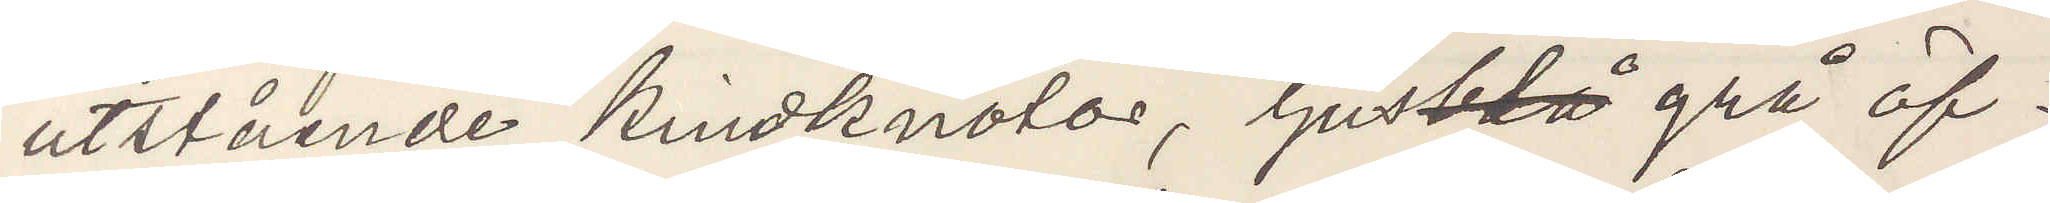utstående kindknotor, ljusblå grå öf¬
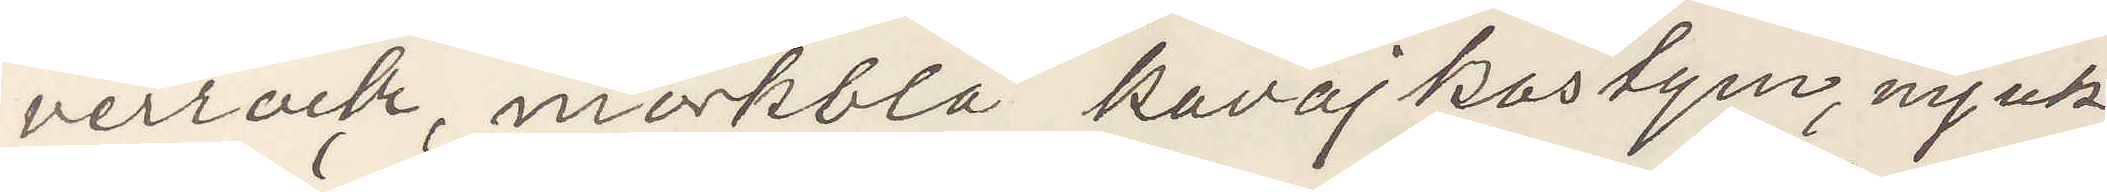verrock, och mörkblå kavaj kostym, mjuk
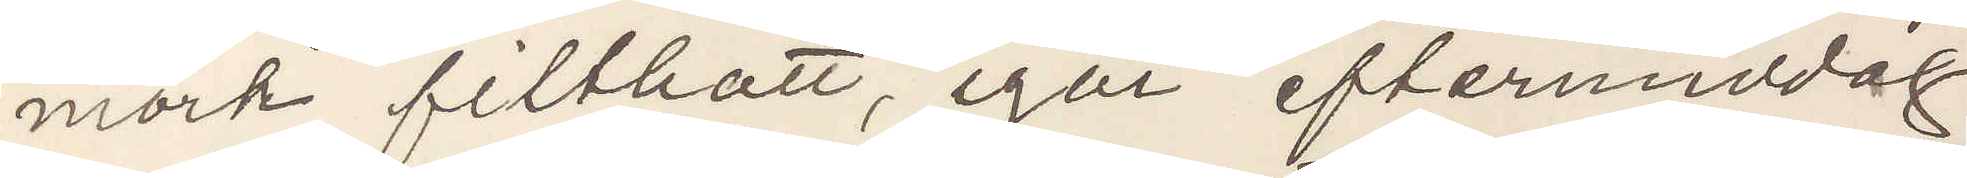mörk filthatt, igår eftermiddag
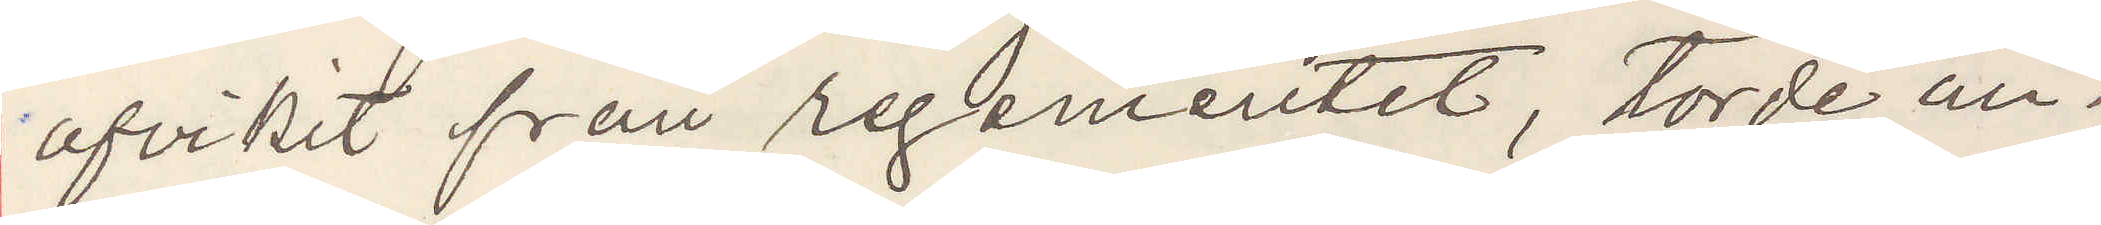afvikit från regementet, torde an¬
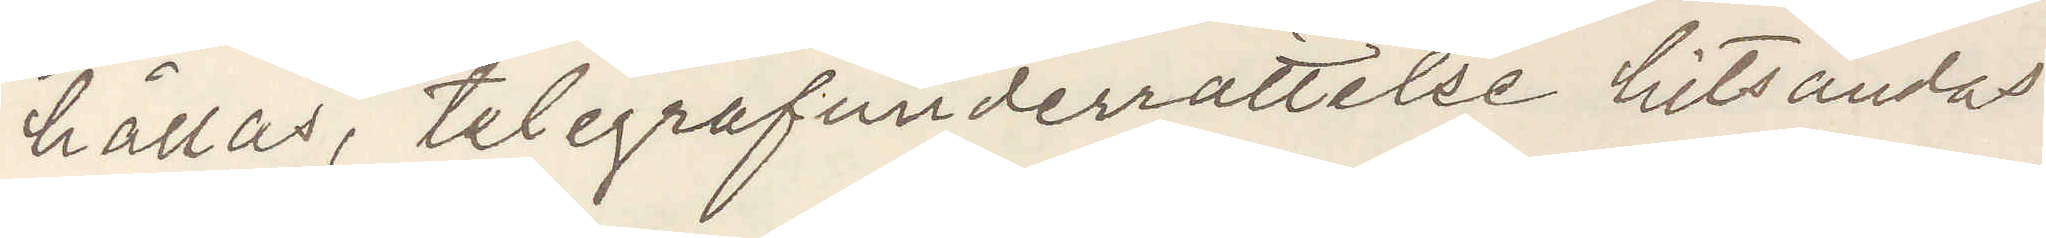hållas, telegrafunderrättelse tillsändas
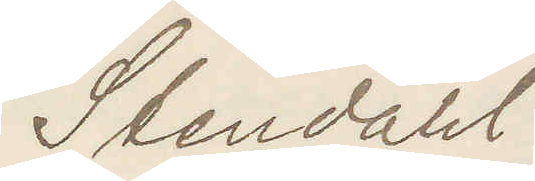Stendahl
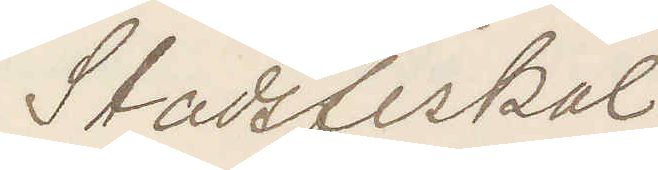Stadsfiskal
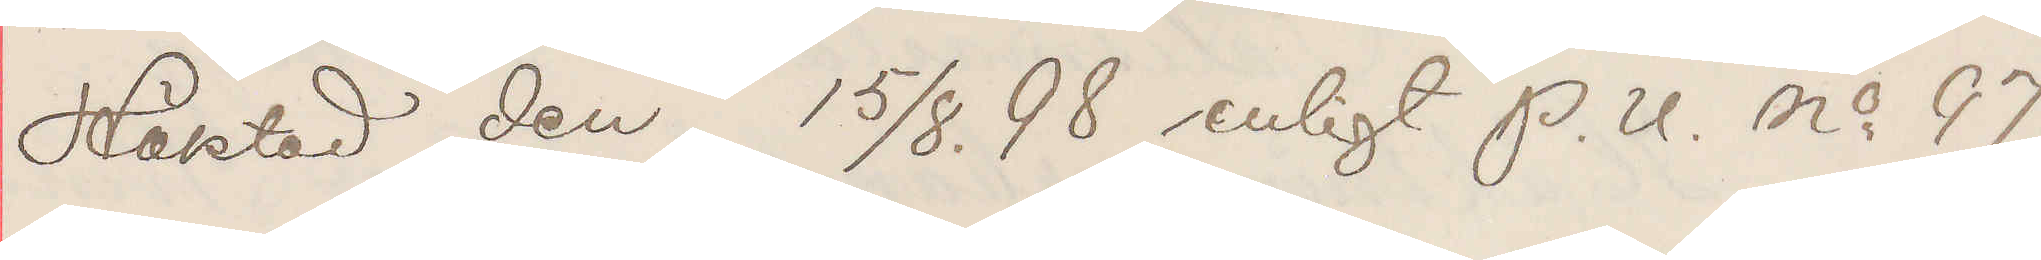Häktad den 15/8. 98 enligt P. U. No 97
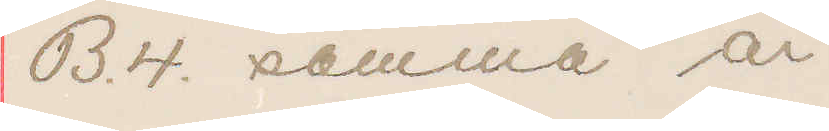B.4. samma år.
